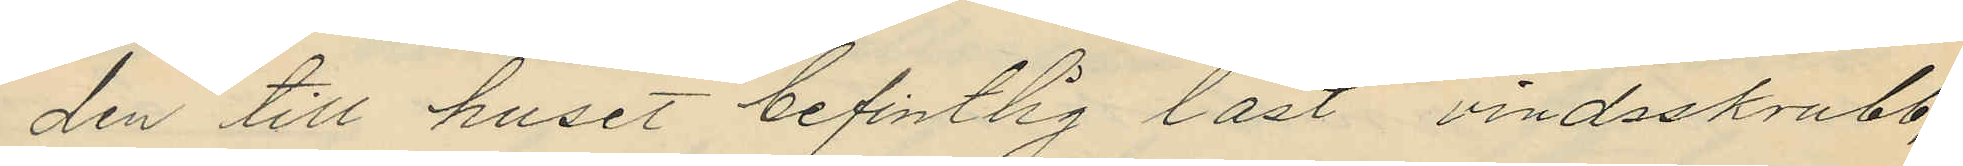den till huset befintlig låst vindsskrubb,
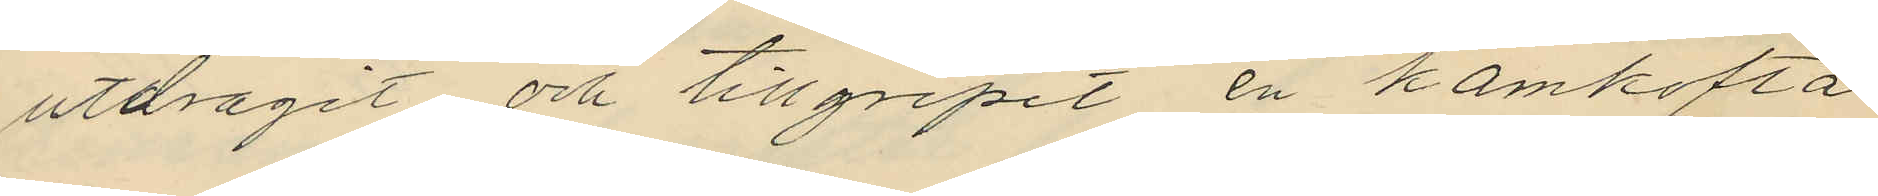utdragit och tillgripit en kamkofta
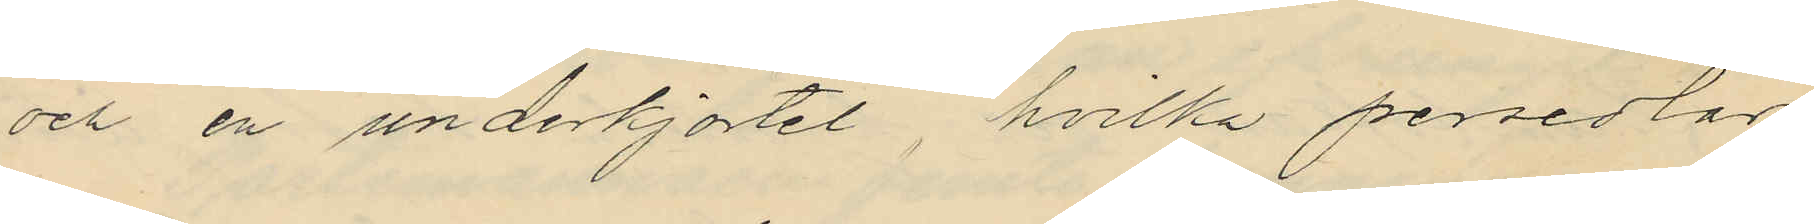och en underkjortel, hvilka persedlar
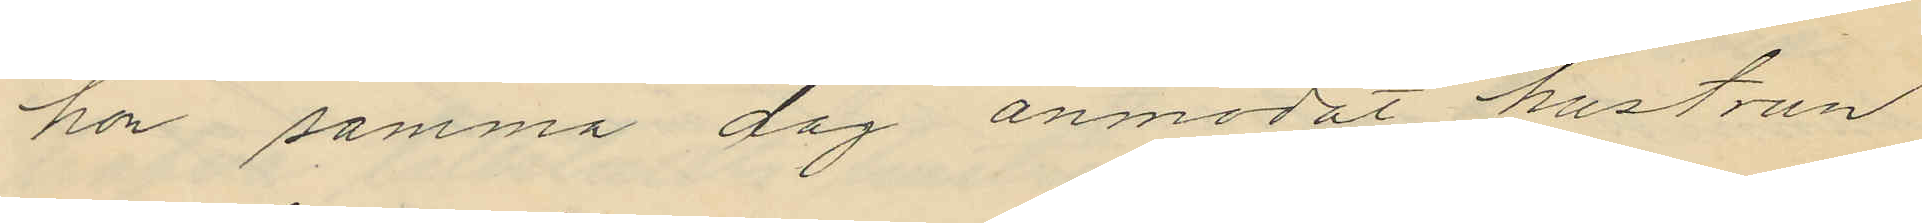hon samma dag anmodat hustrun
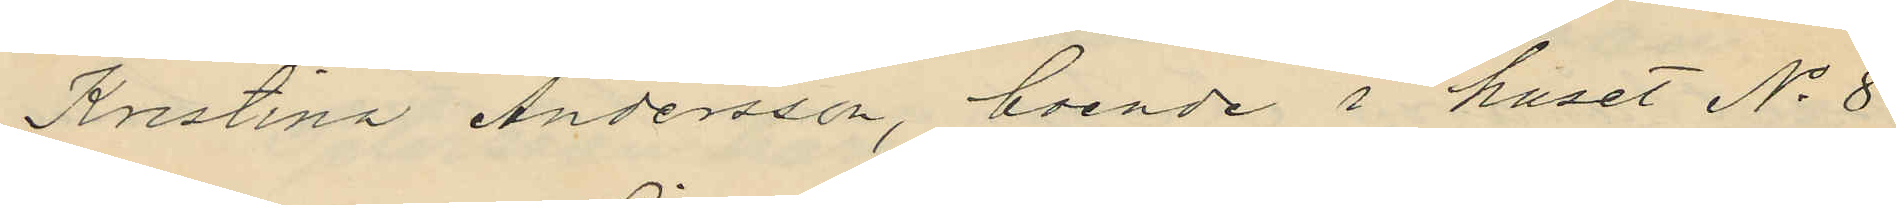Kristina Andersson, boende i huset No 8
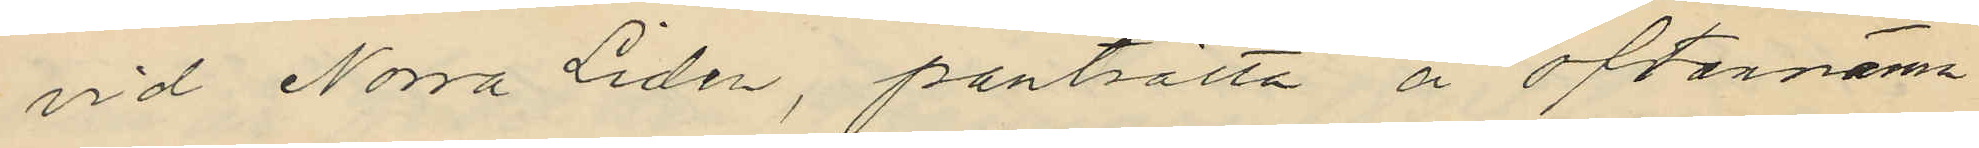vid Norra Liden, pantsätta å oftannämn¬
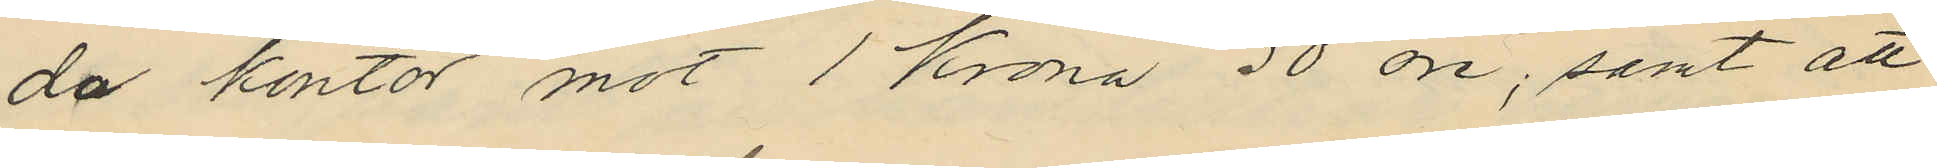da kontor mot 1 Krona 50 öre, samt att
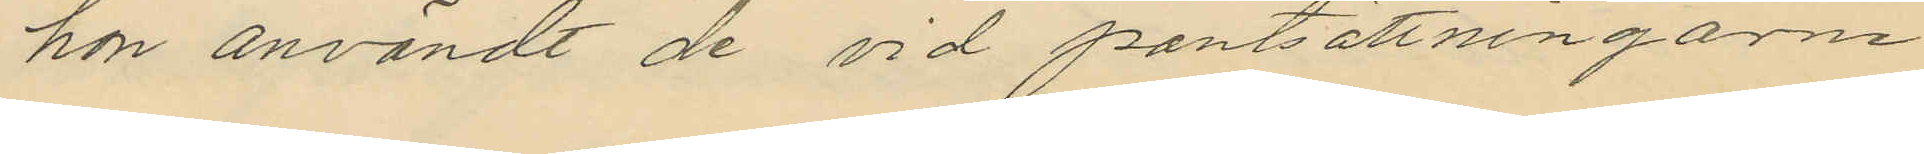hon användt de vid pantsättningarne
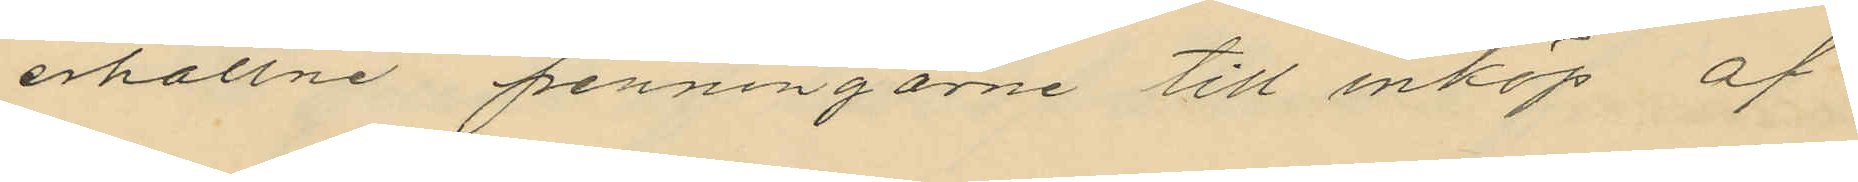erhållne penningarne till inköp af
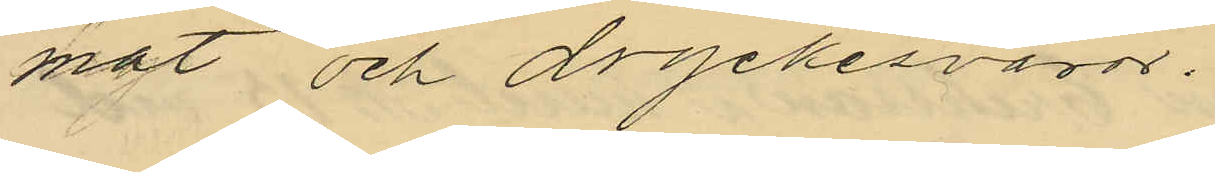mat och dryckesvaror.
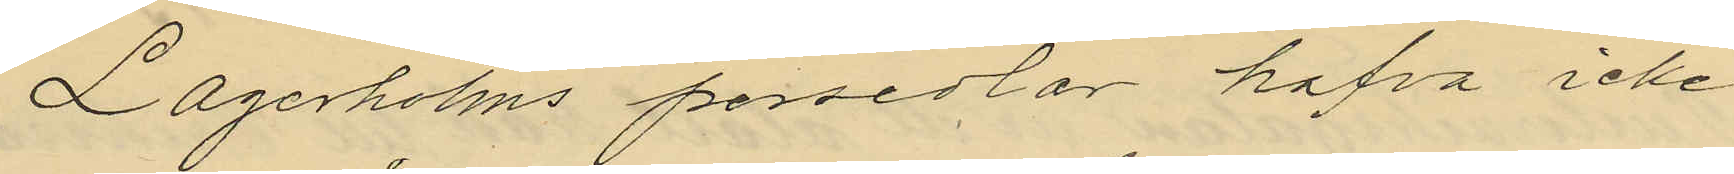Lagerholms persedlar hafva icke
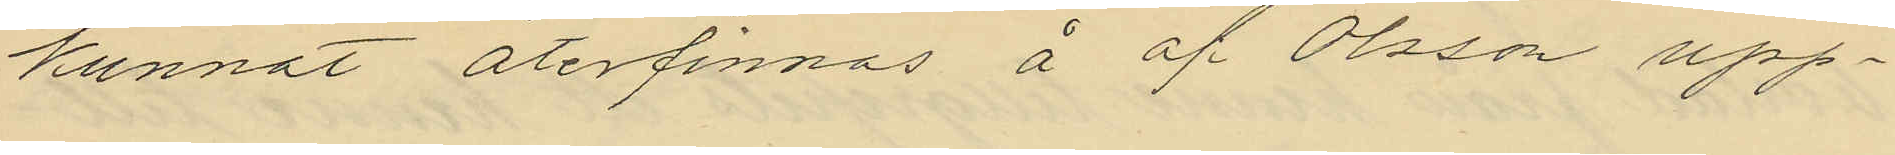kunnat återfinnas å af Olsson upp¬
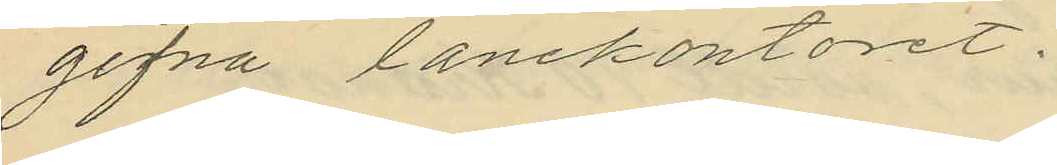gifna lånekontoret.
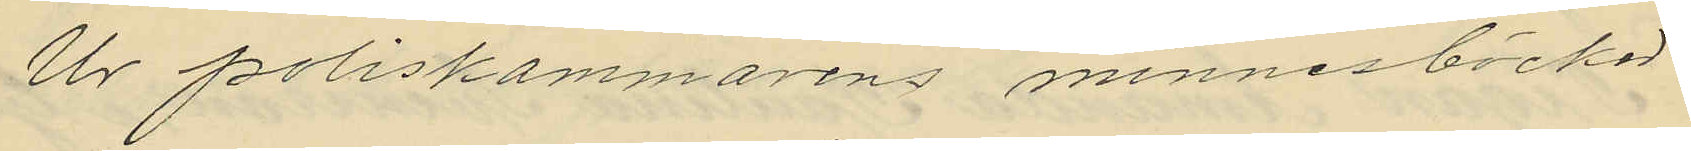Ur poliskammarens minnesböcker
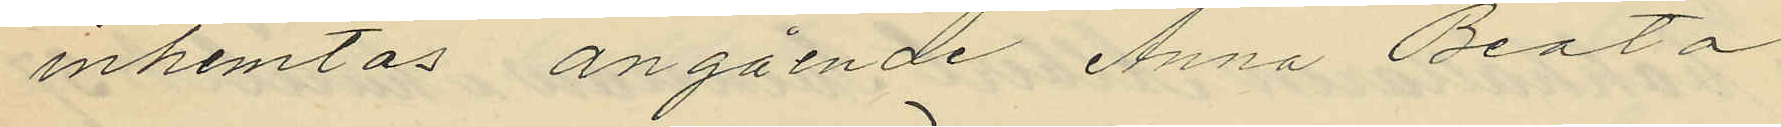inhemtas angående Anna Beata
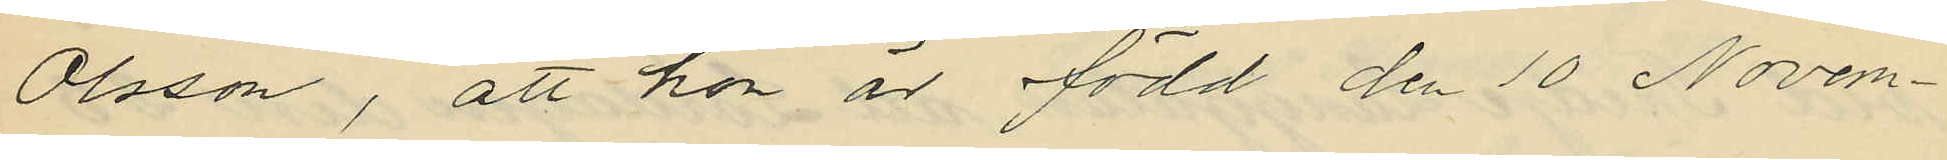Olsson, att hon är född den 10 Novem¬
